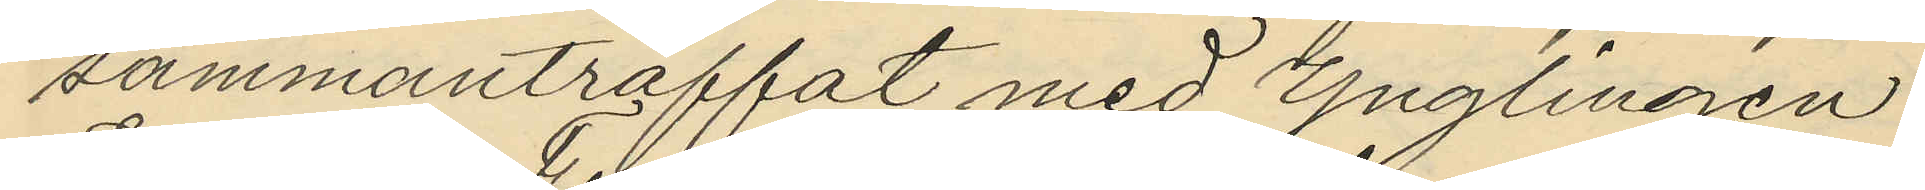sammanträffat med Ynglingen
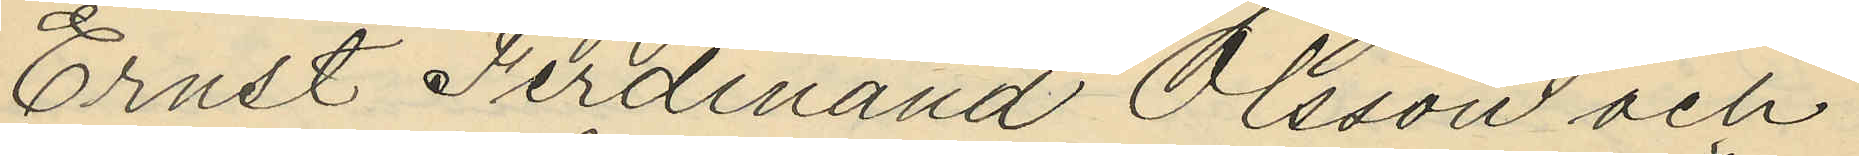Ernst Ferdinand Olsson och
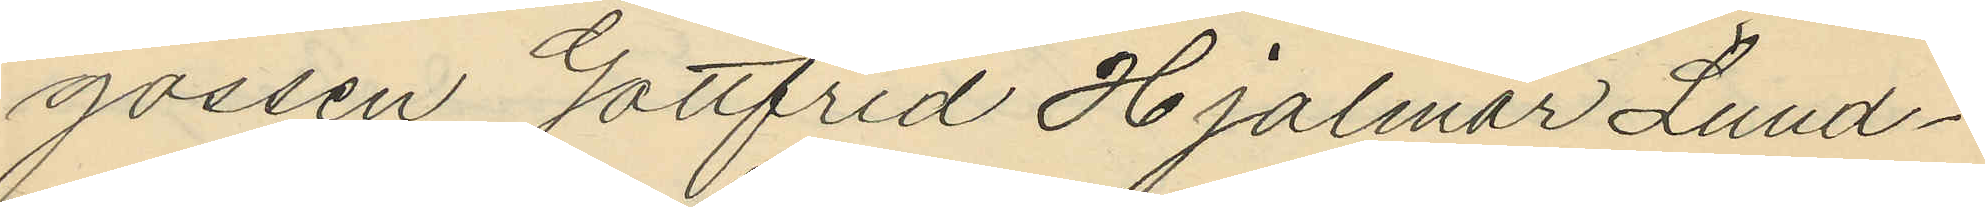gossen Gottfrid Hjalmar Lund¬
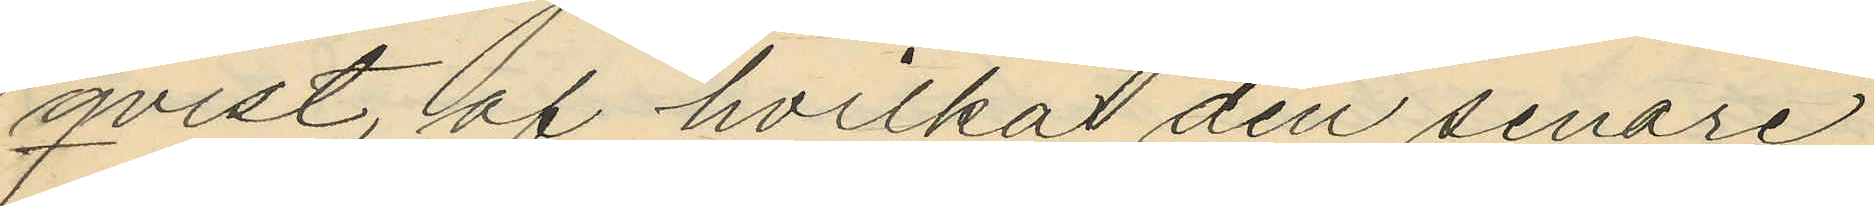qvist, af hvilkat den senare
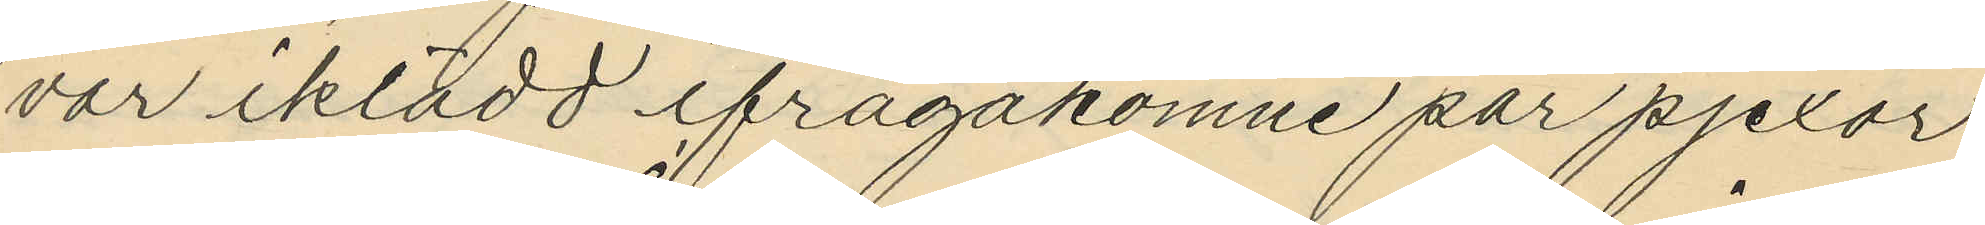var iklädd ifrågakomne par pjexor
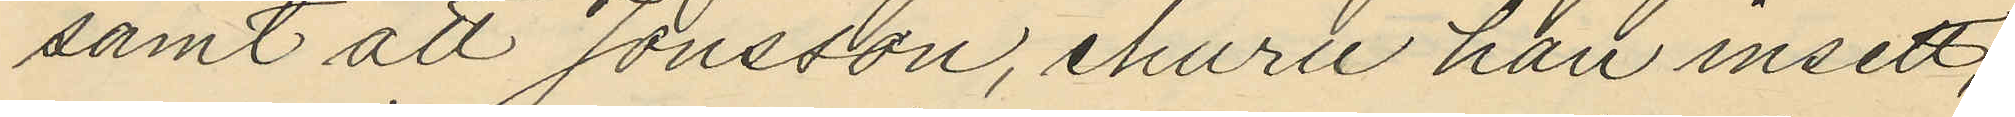samt att Jonsson, ehuru han insett,
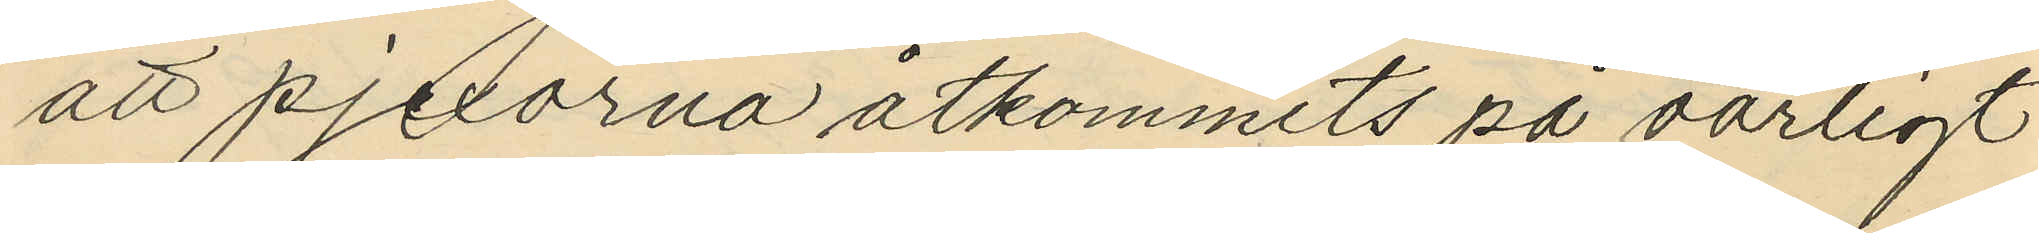att pjexorna åtkommits på oärligt
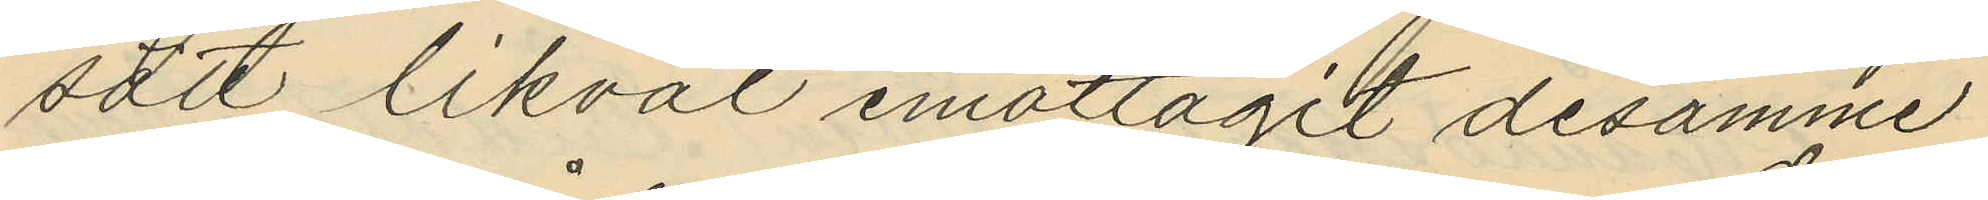sdtt likväl emottagit desamme.
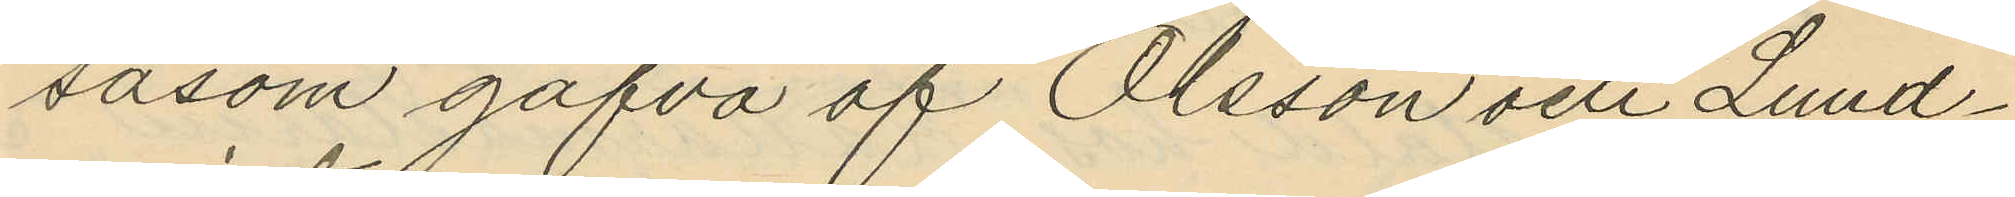såsom gåfva af Olsson och Lund¬
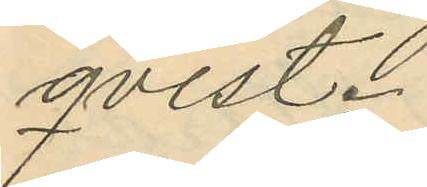qvist.
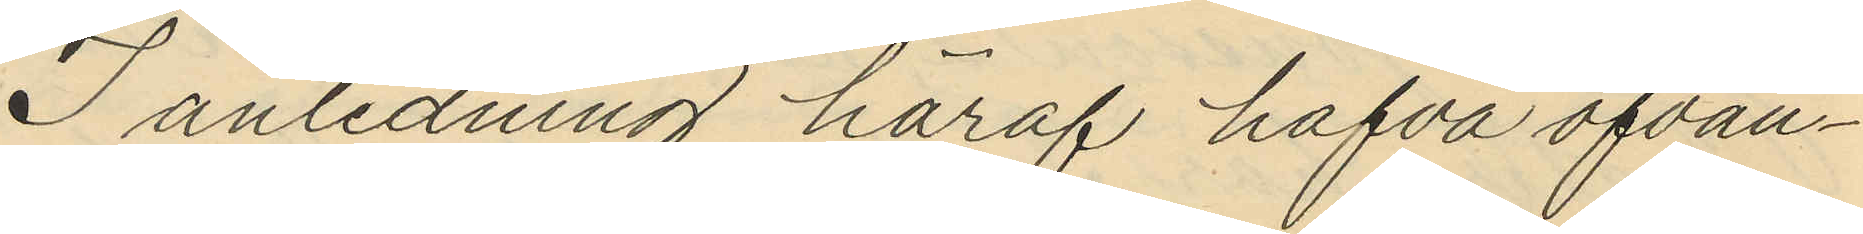I anledning häraf hafva ofvan¬
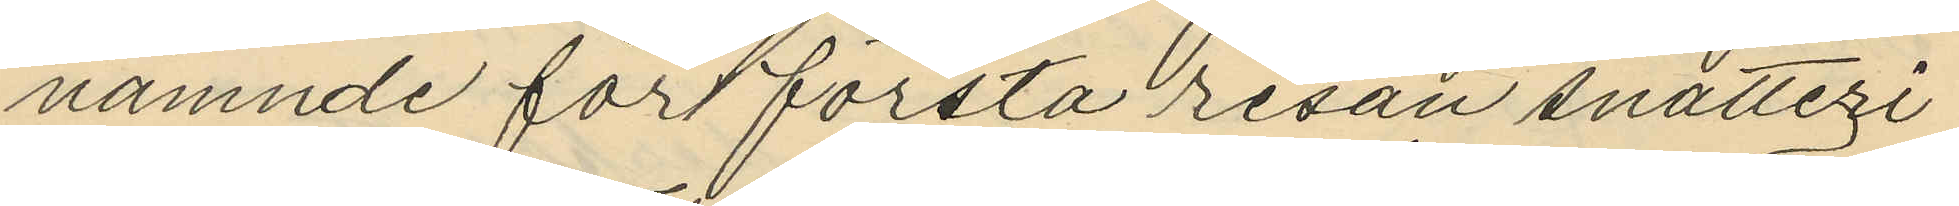nämnde för första resan snatteri
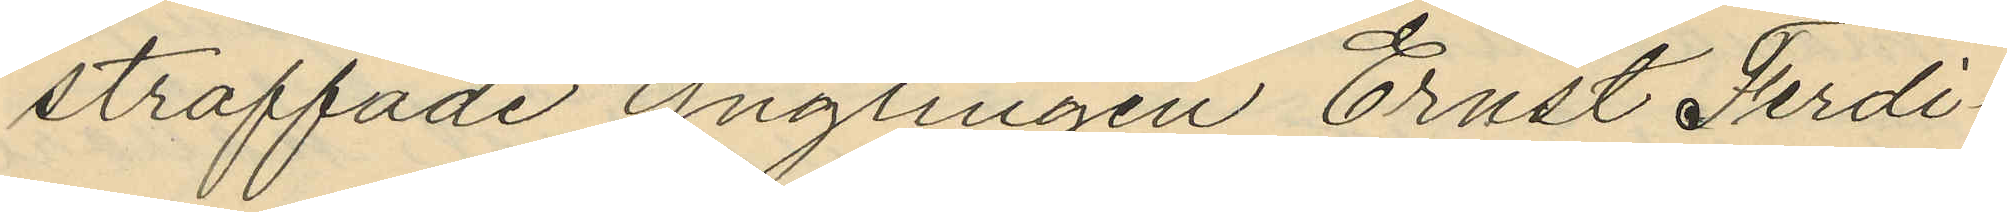straffade ynglingen Ernst Ferdi¬
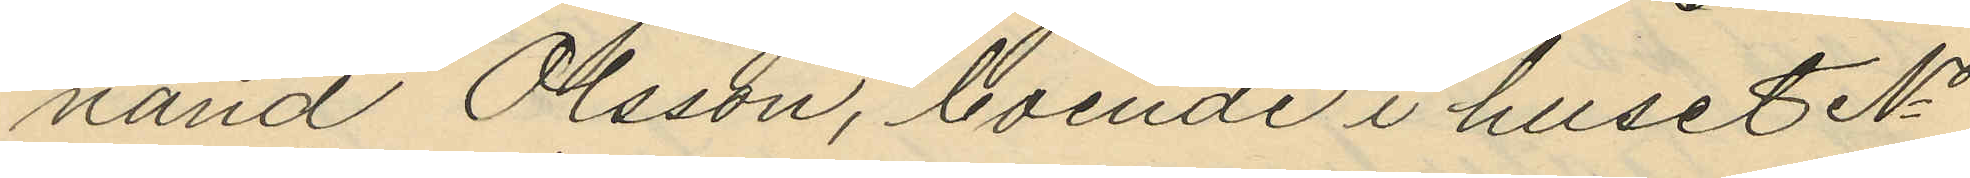nand Olsson, boende i huset No
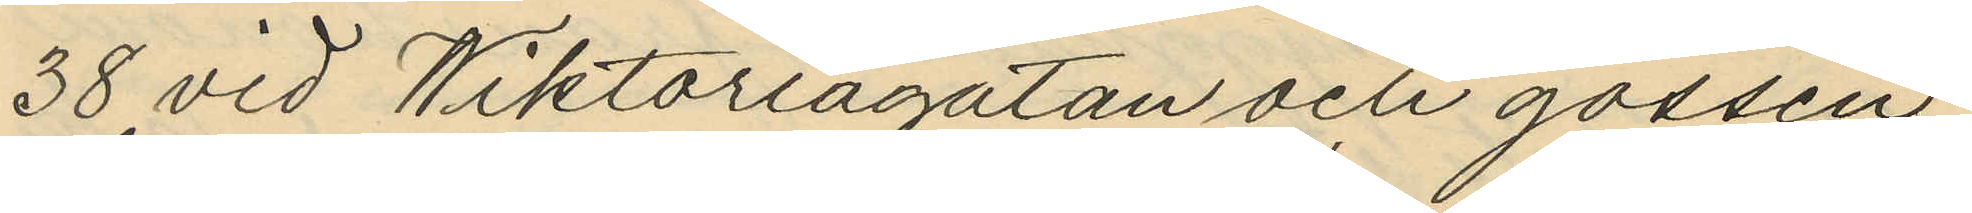38 vid Wiktoriagatan och gossen
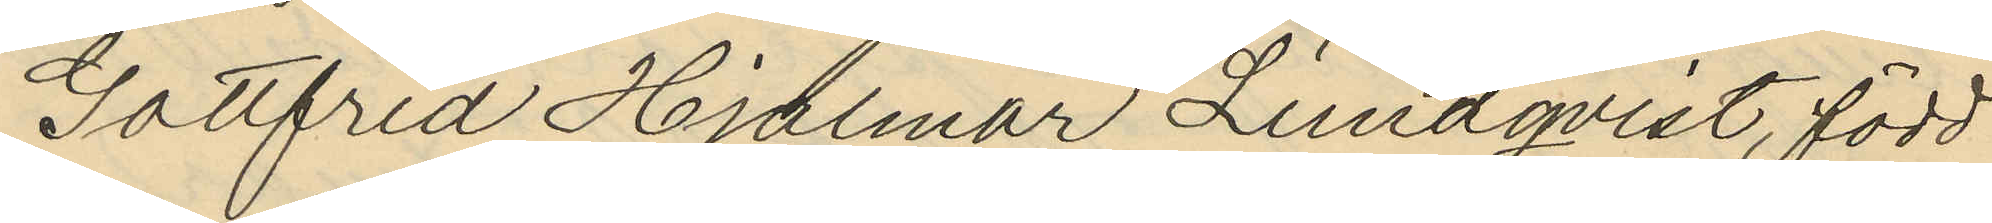Gottfrid Hjalmar Lundqvist, född
